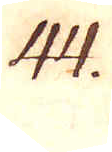44.
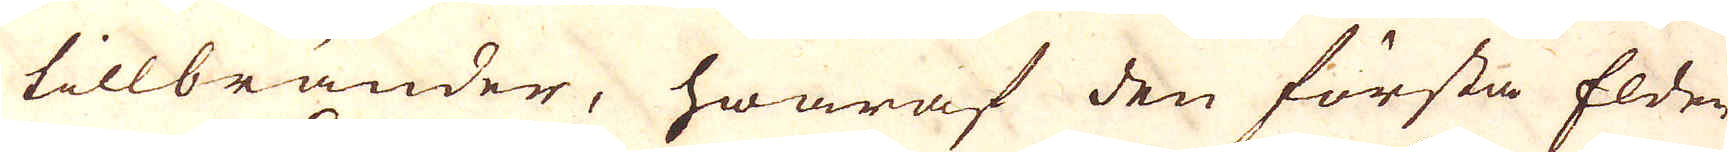tillbränder, hwaraf den första Elden
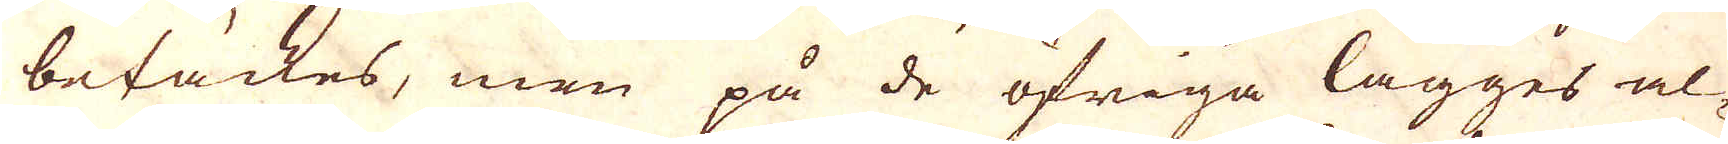betäckes, men på de öfriga lägges al-
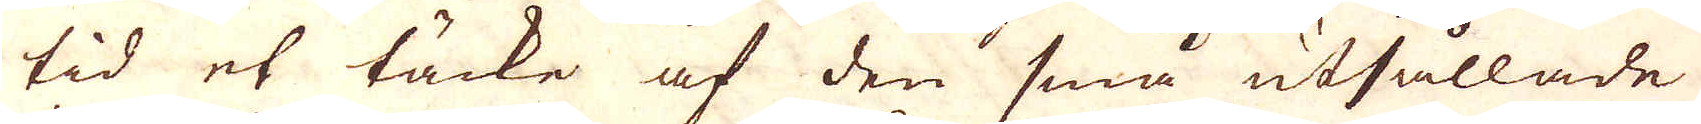tid et täcke af den små utsållade
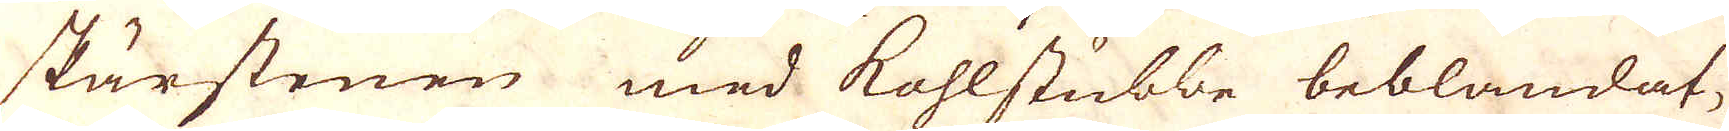skärstenen med kohlstubbe beblandat,
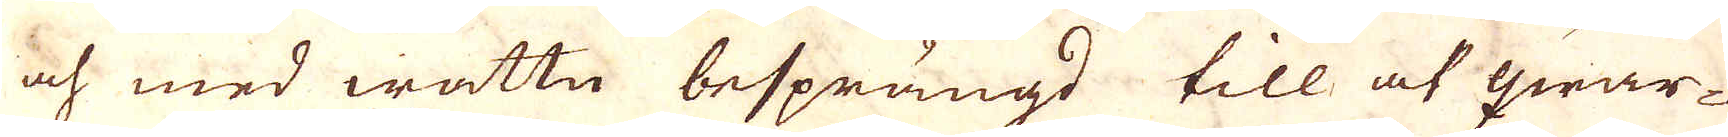och med wattn besprängd till at qwar-
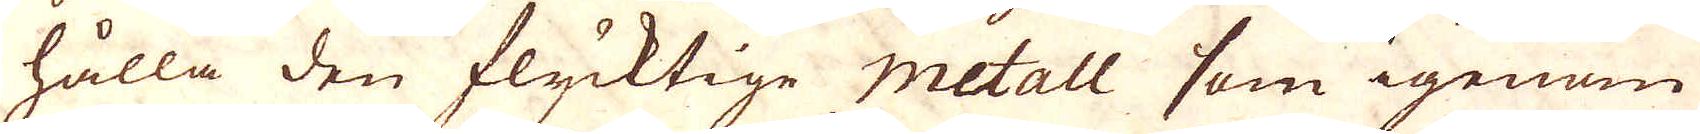hålla den flycktige metall som igenom
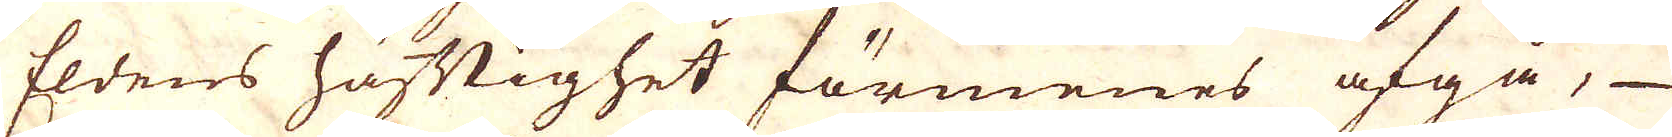Eldens häftighet förmenes afgå,
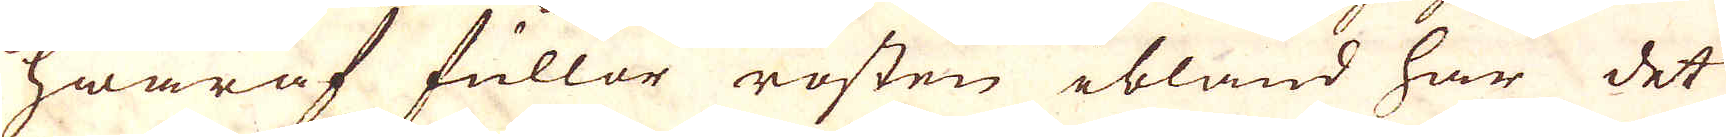hwaraf fuller rosten ibland har det
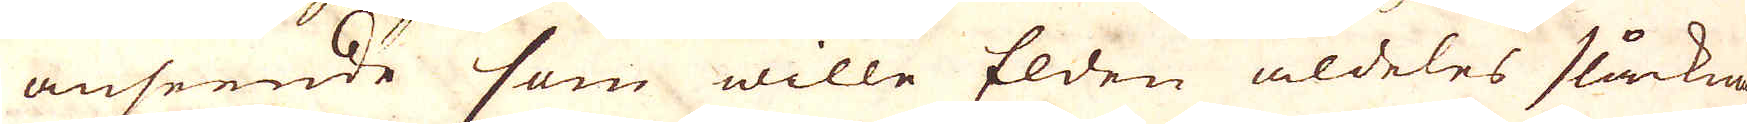anseende som wille Elden aldeles släcka
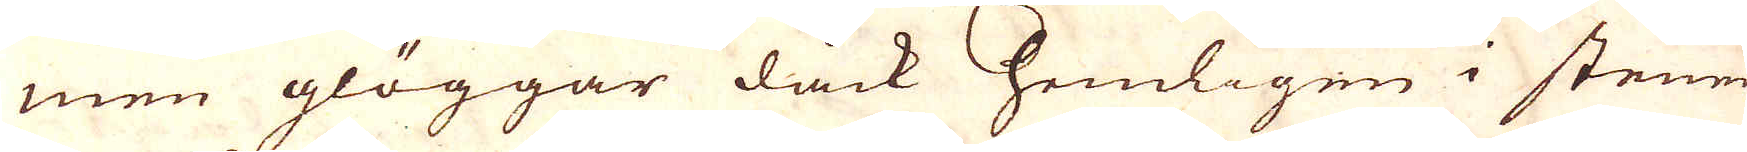men glöggar dåck hemligen i stenen
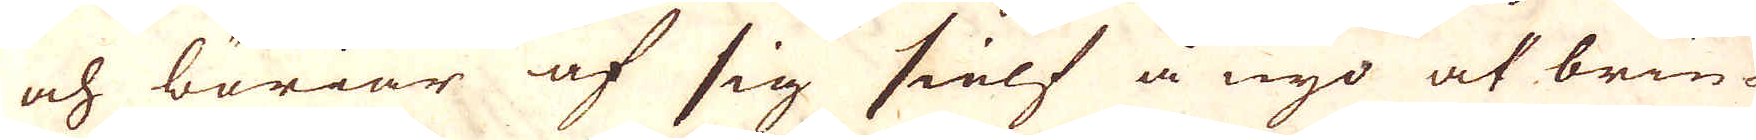och böriar af sig sielf å nyo at brin-
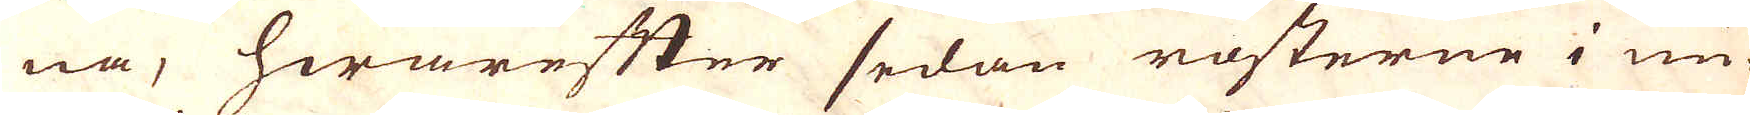na, hwarefter sedan rosterne i un-
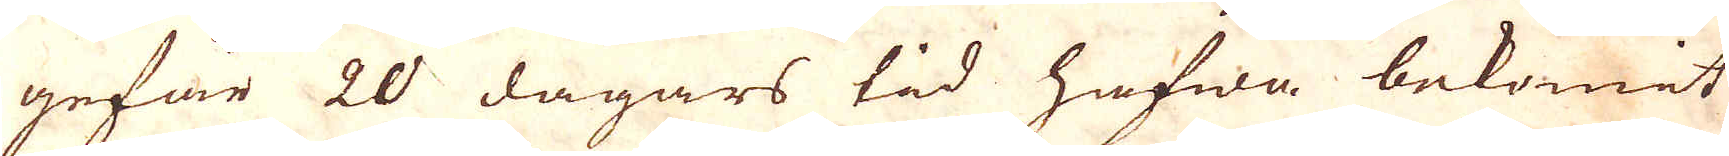gefär 20 dagars tid hafwa bekomit
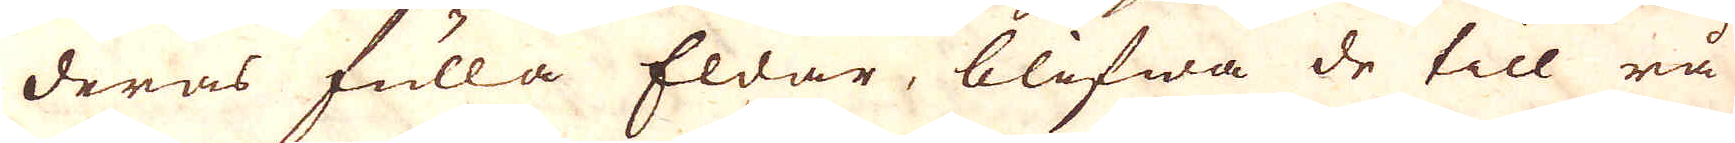deras fulla Eldar, blifwa de till rå
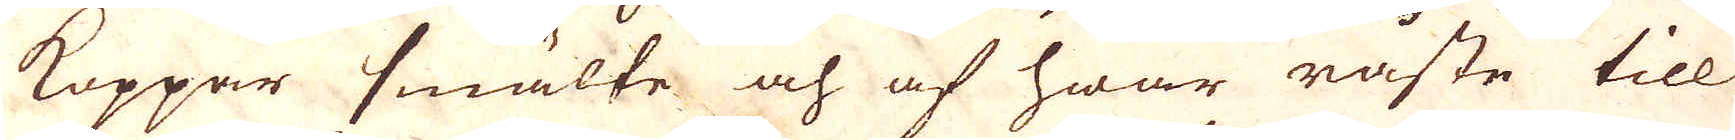Koppar smälte och af hwar råste till
